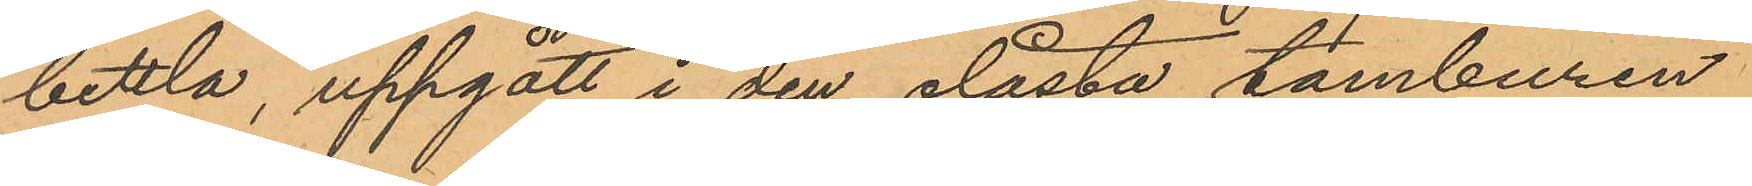bettla, uppgått i den olåsta tamburen
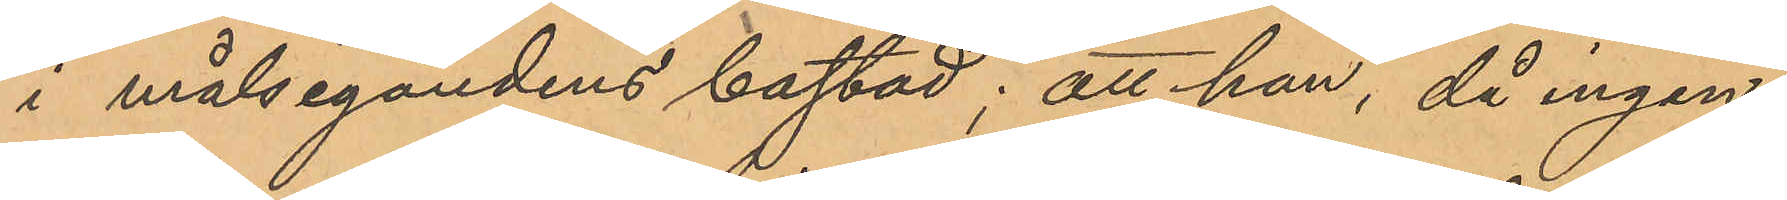i målsegandens bostad; att han, då ingen
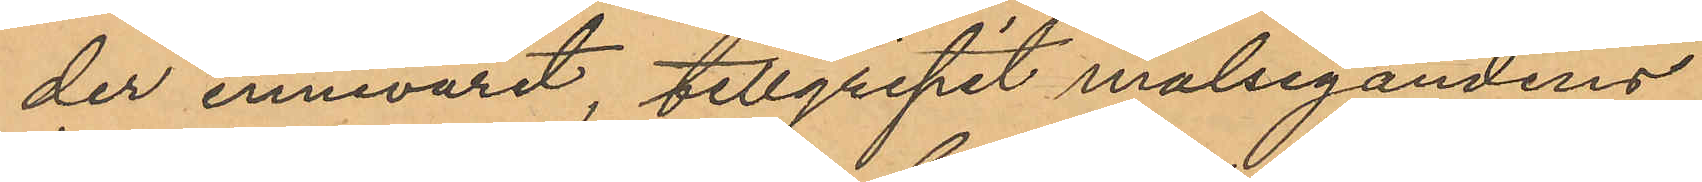der innevarit, tillgripit målsegandens
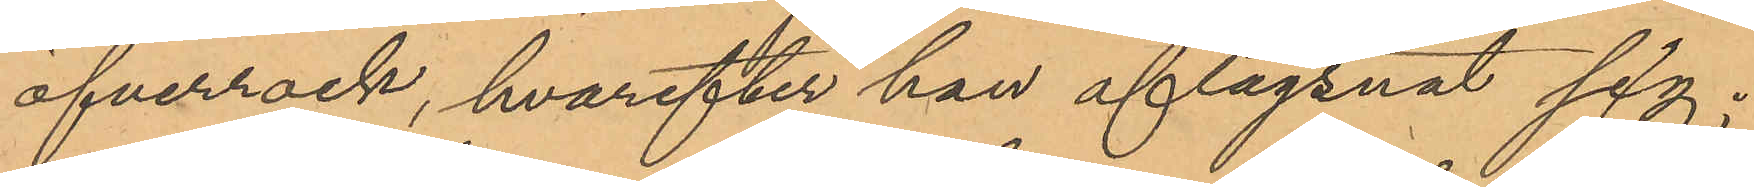öfverrock, hvarefter han aflägsnat sig;
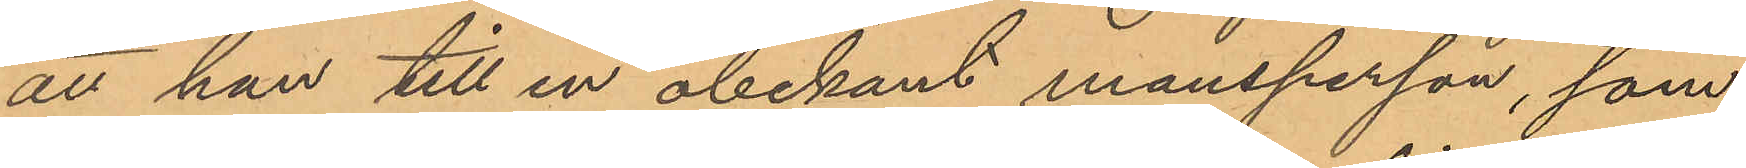att han till en obekant mansperson, som
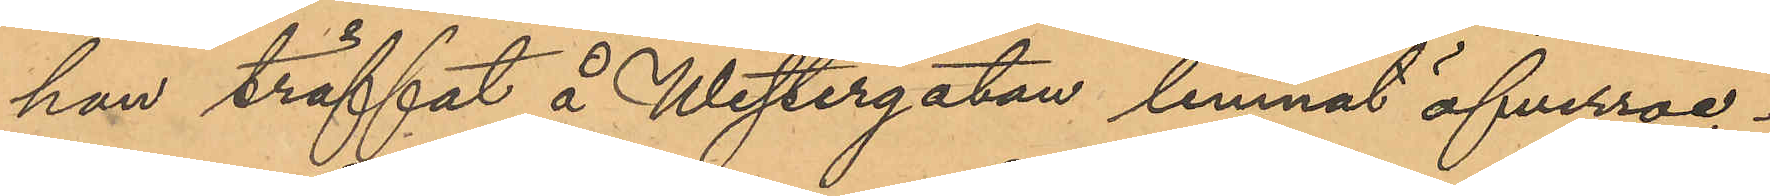han träffat å Westergatan lemnat öfverroc¬
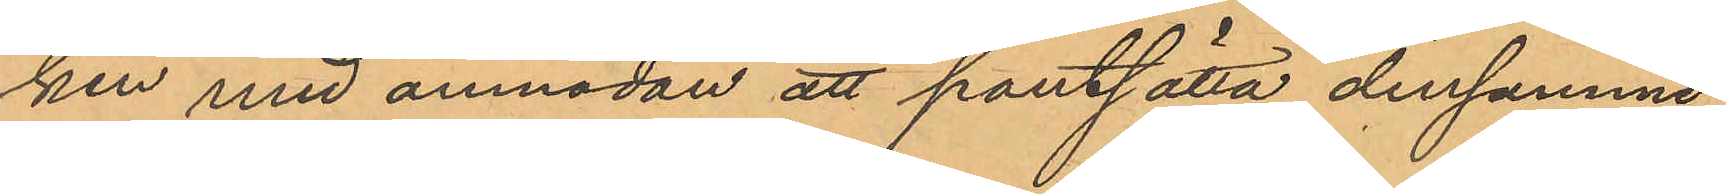ken med anmodan att pantsätta densamme
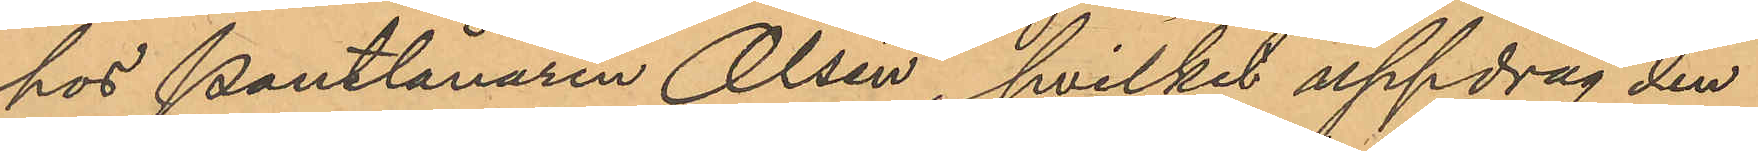hos Pantlånaren Olsén, hvilket uppdrag den
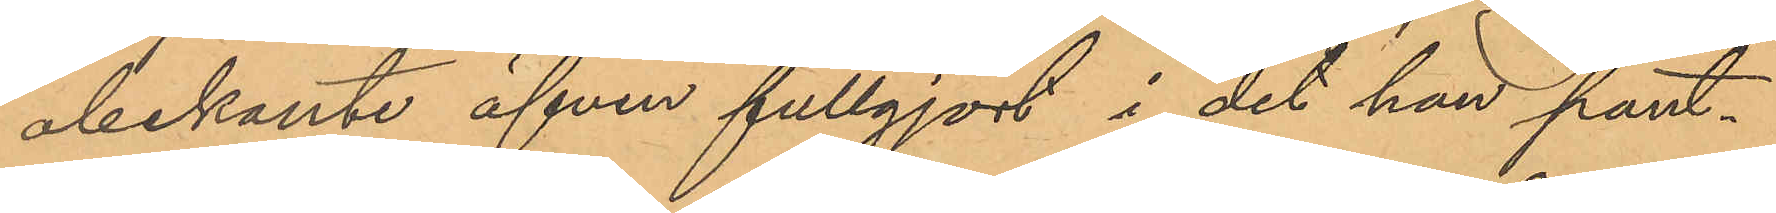obekante äfven fullgjort i det han pant¬
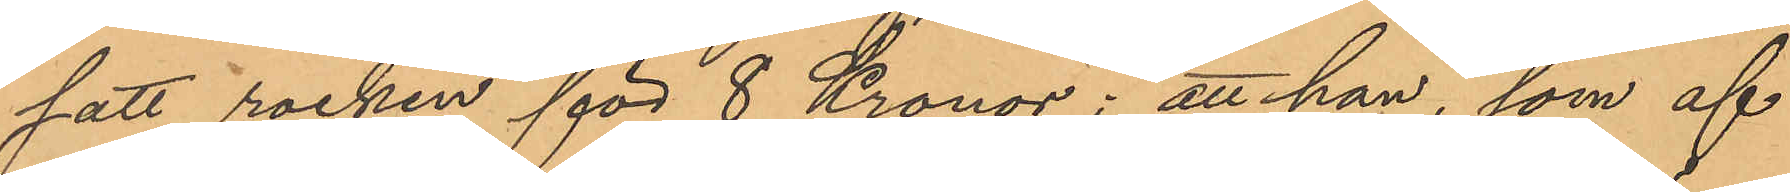satt rocken för 8 Kronor; att han, som af
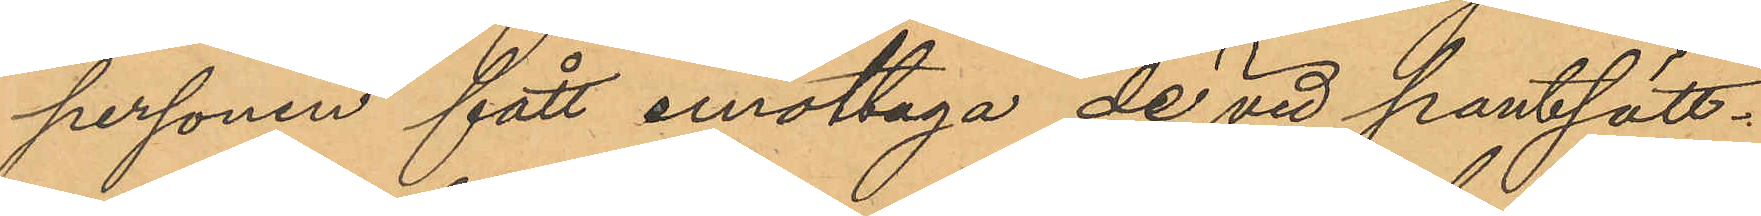personen fått emottaga de vid pantsätt¬
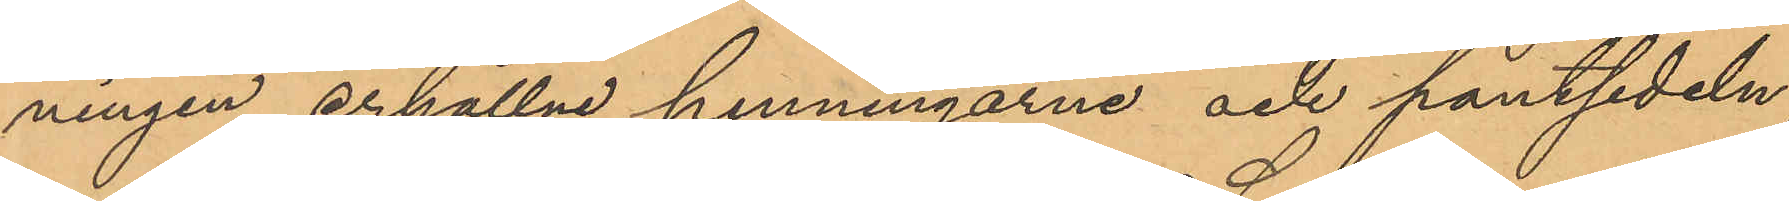ningen erhållne penningarne och pantsedeln,
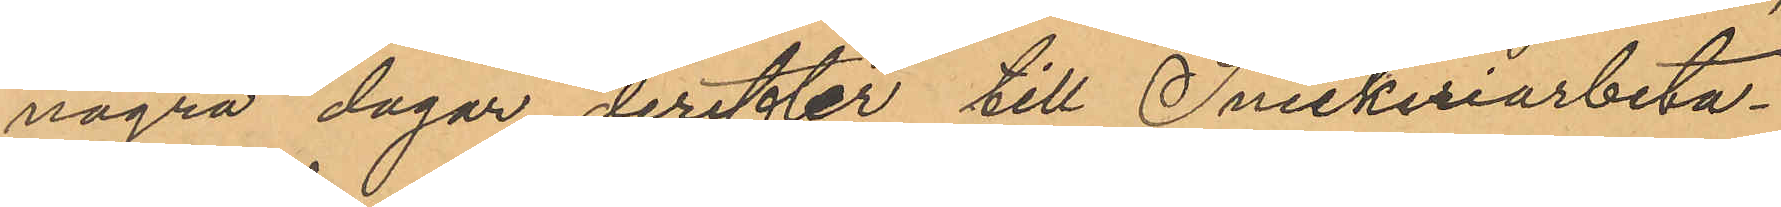några dagar derefter till Snickeriarbeta¬
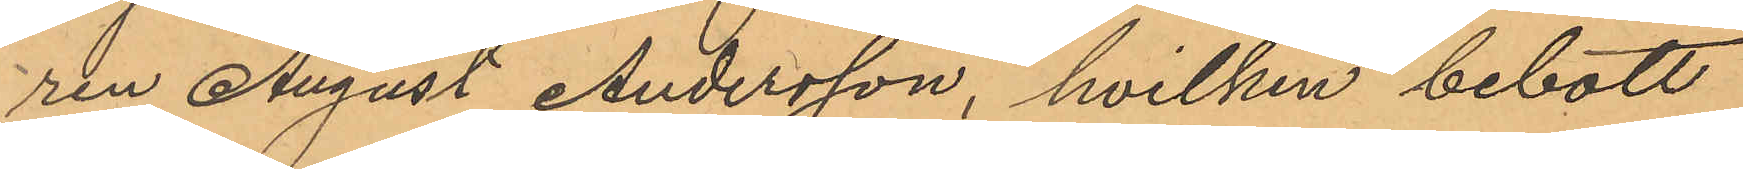ren August Andersson, hvilken bebott
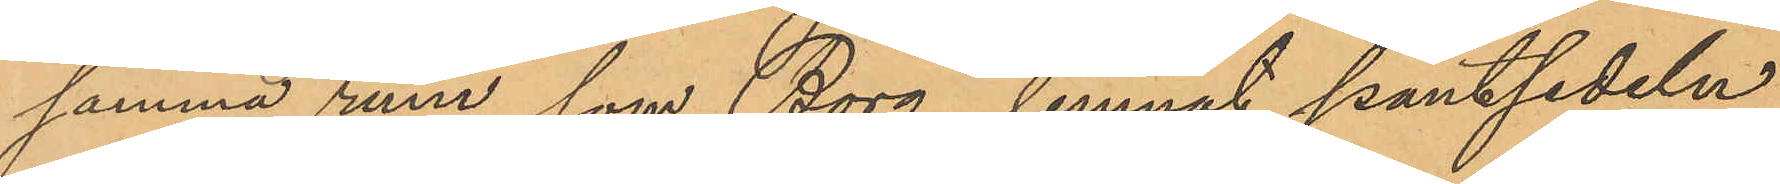samma rum, som Borg, lemnat pantsedeln
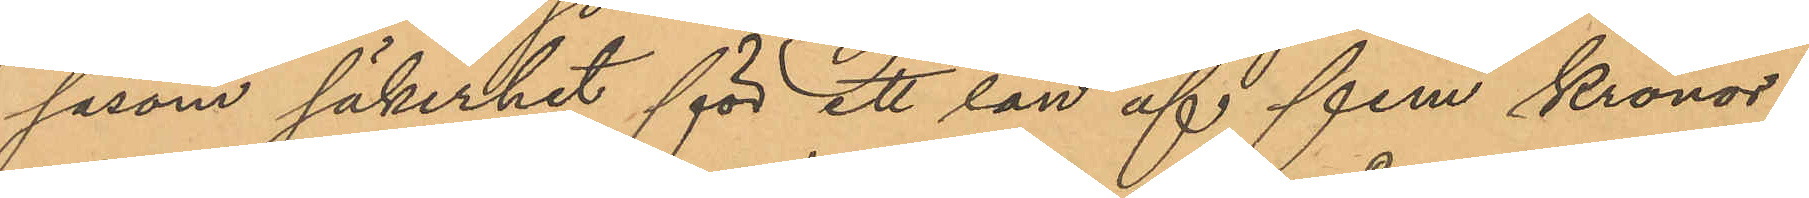såsom säkerhet för ett lån af fem kronor;
